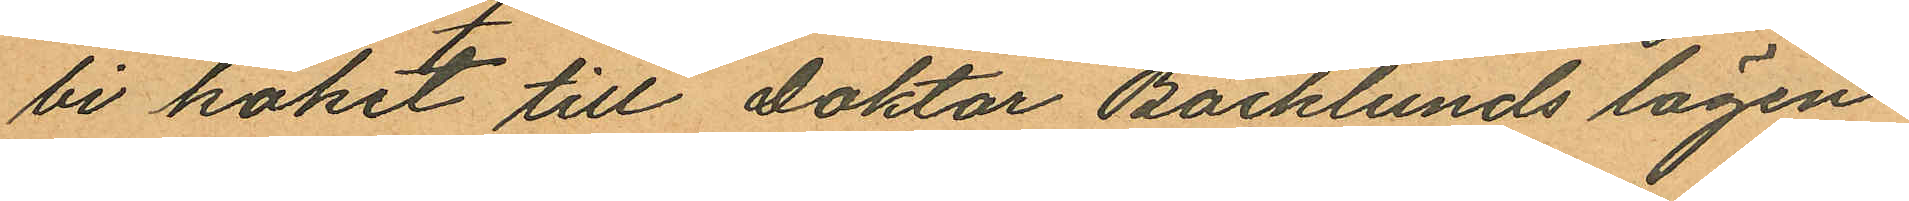bi köket till Doktor Backlunds lägen¬
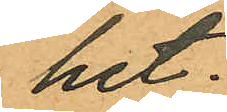het.
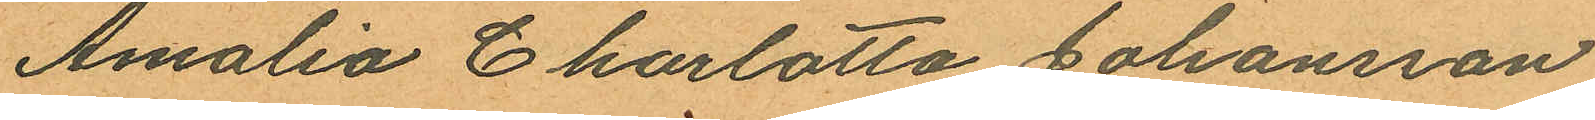Amalia Charlotta Johansson
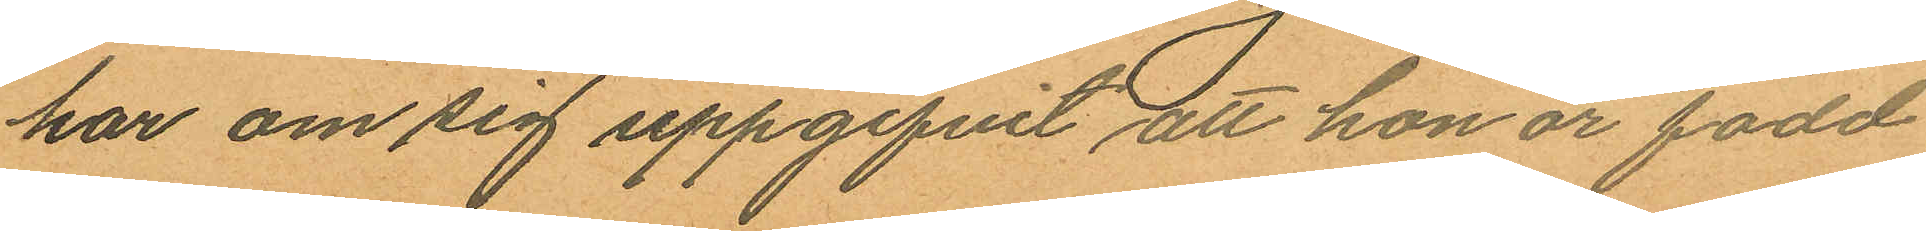har om sig uppgifvit, att hon är född
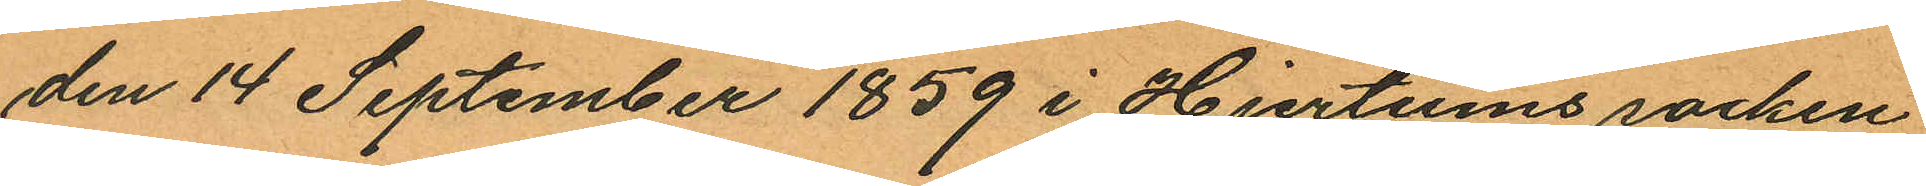den 14 September 1859 i Hjertums socken
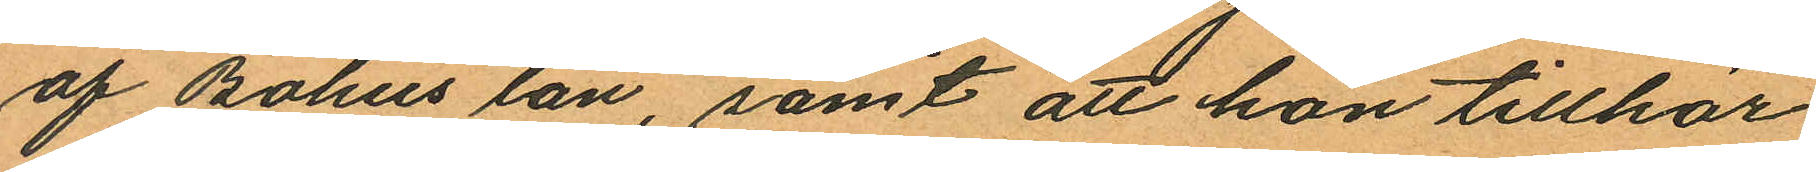af Bohus län, samt att hon tillhör
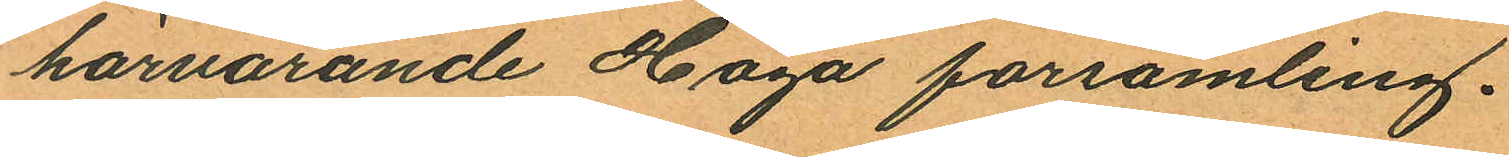härvarande Haga församling.
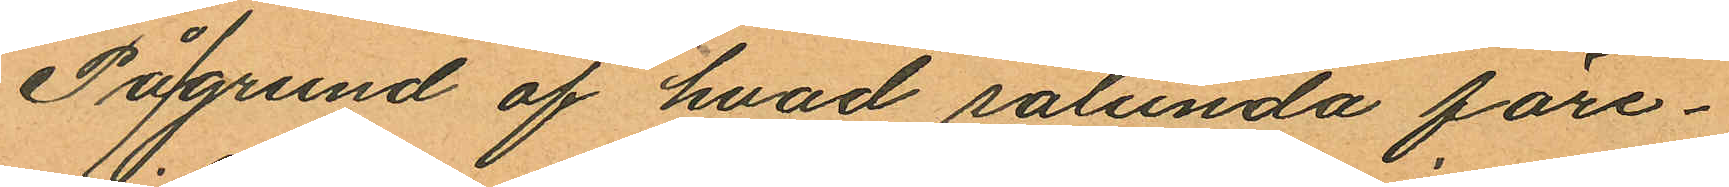På/grund af hvad sålunda före¬
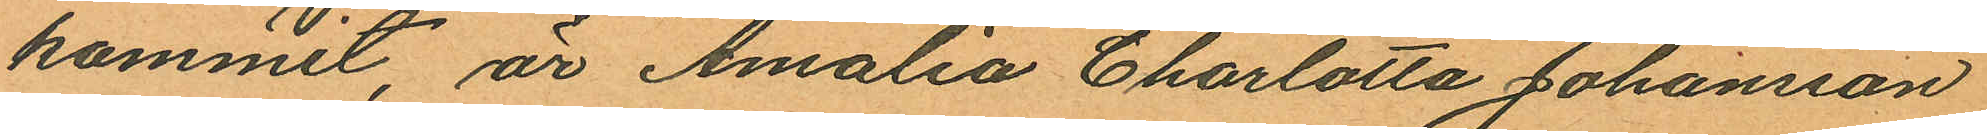kommit, är Amalia Charlotta Johansson
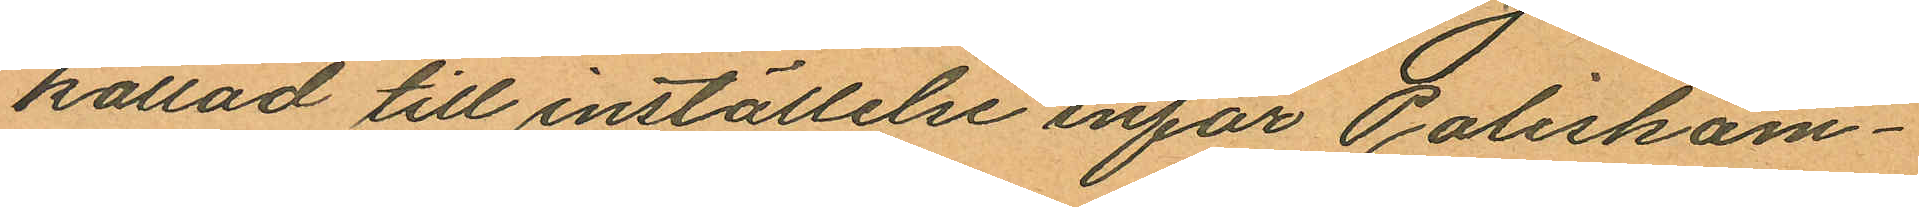kallad till inställelse inför Poliskam¬
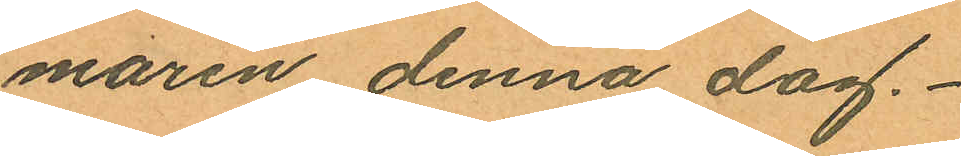maren denna dag.
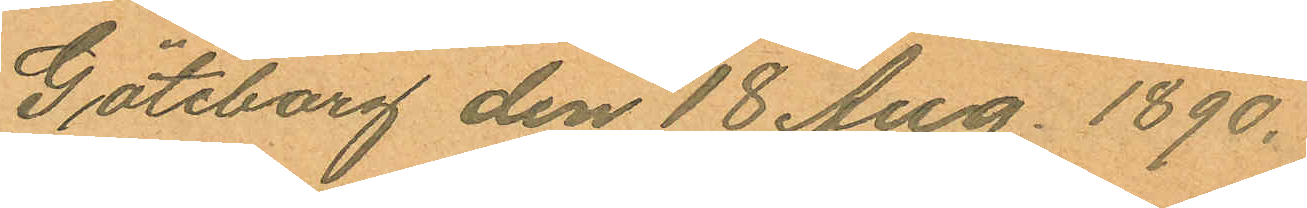Göteborg den 18 Aug. 1890.
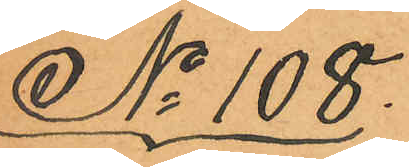No 108.
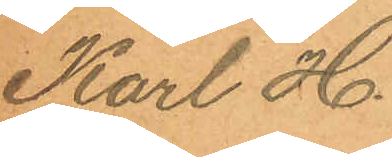Karl H.
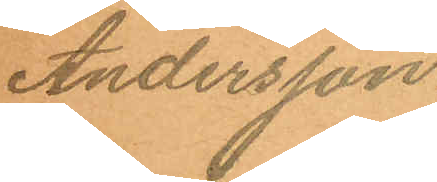Andersson.
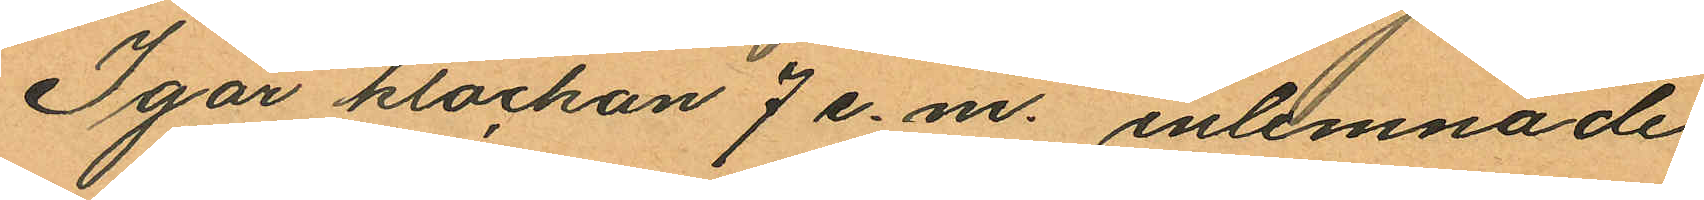Igår klockan 7 e. m. inlemnade
